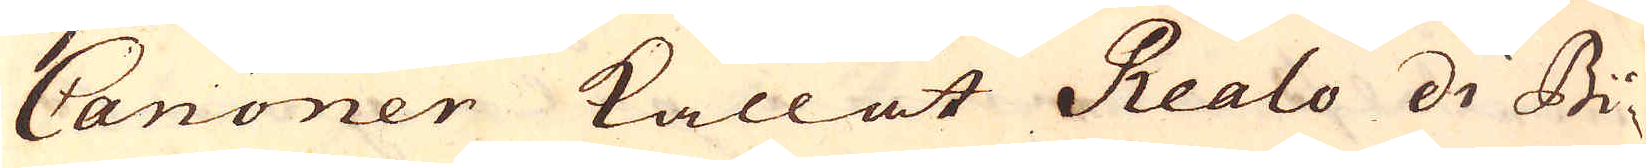Canoner kallat Realo di Bi-
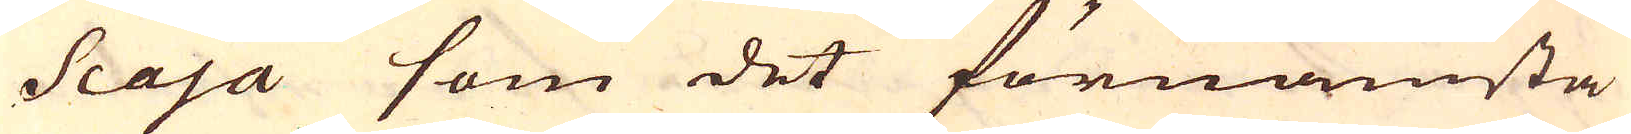scaja som det förnämsta
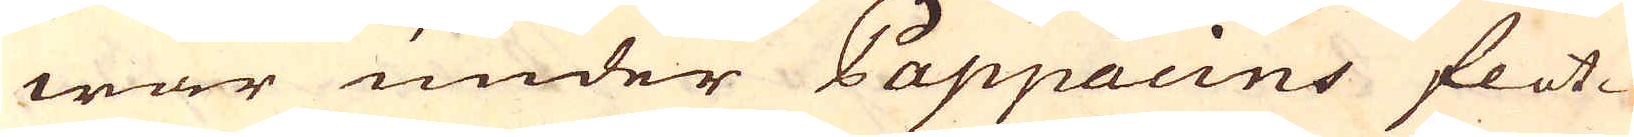war under Pappacins flot-
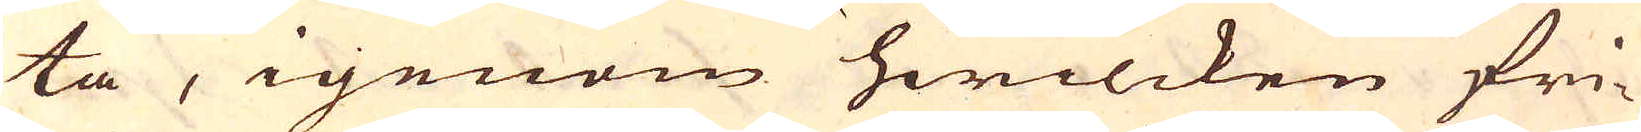ta, igenom hwilcken fri-
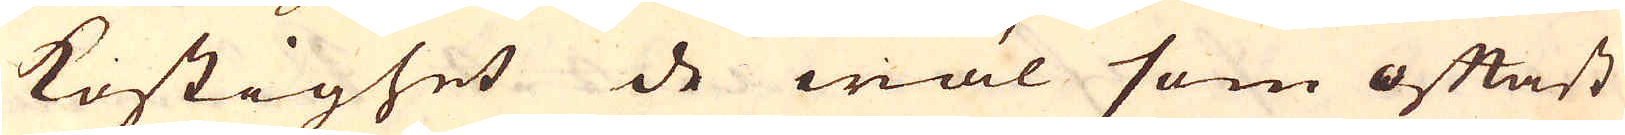kostighet de wäl som oftast
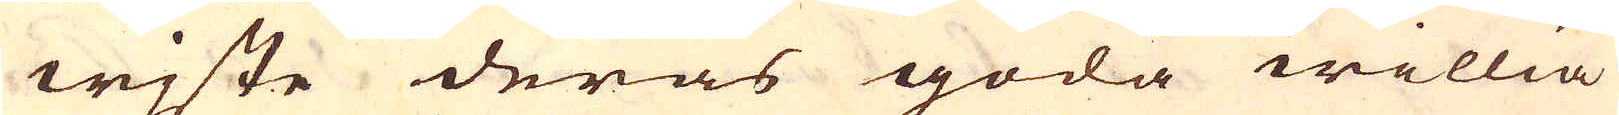wjste deras goda willia
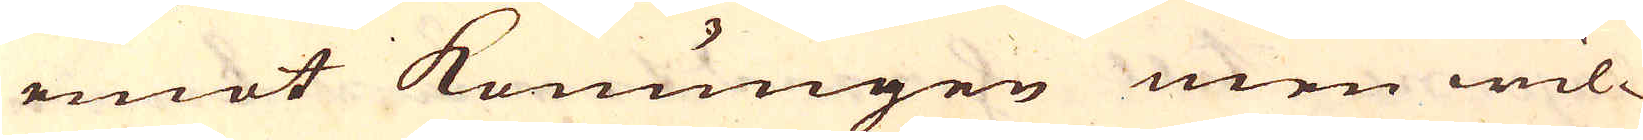emot Konungen men wil-
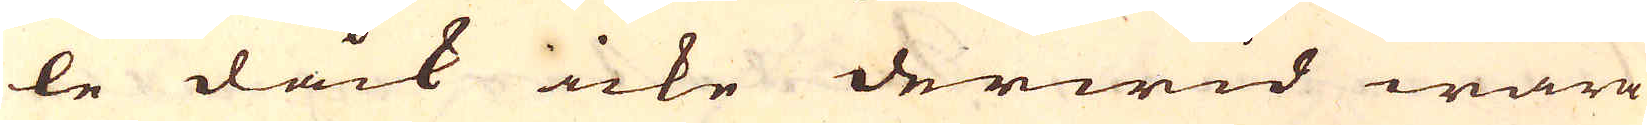le dåck icke derwid wara
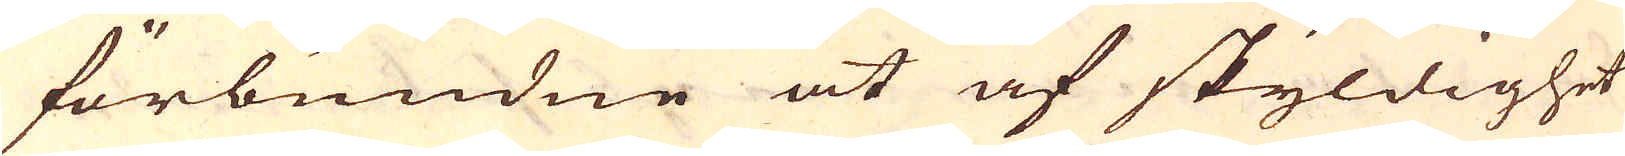förbundne at af skyldighet
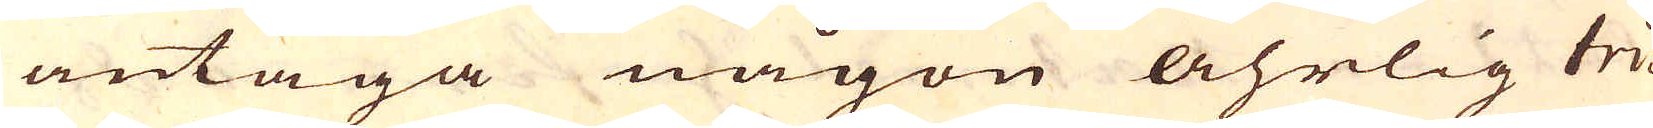antaga någon åhrlig tri-
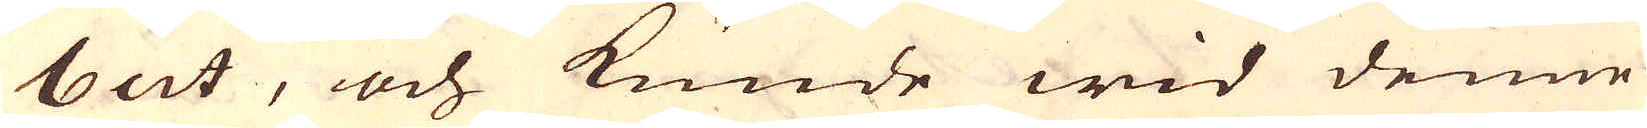but, och kunde wid denne
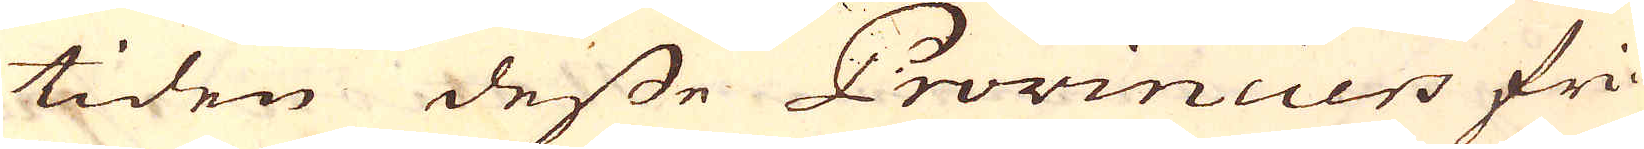tiden desse Provinciers fri-
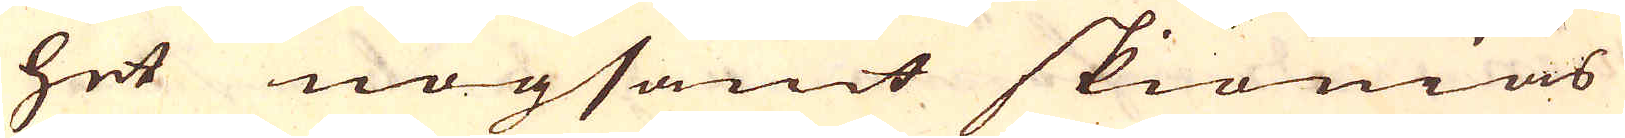het nogsamt skiönias
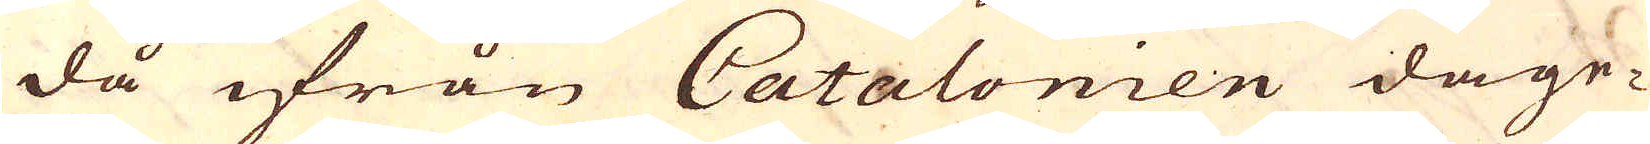då ifrån Catalonien dage-
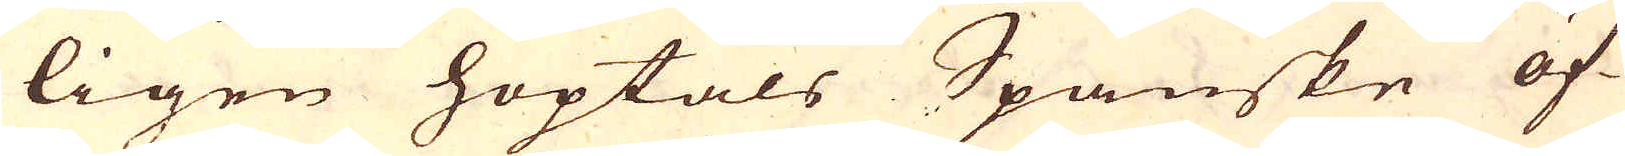ligen hoptals Spanske öf-
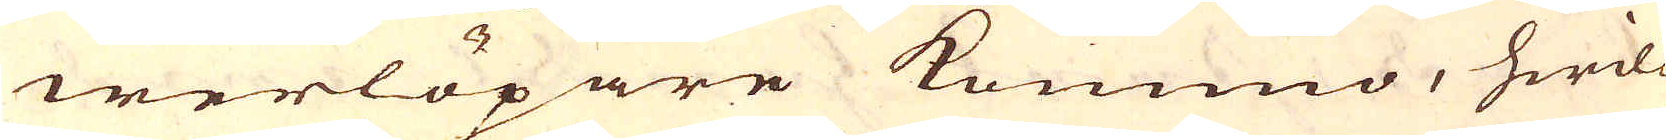werlöpare kommo, hwil-
